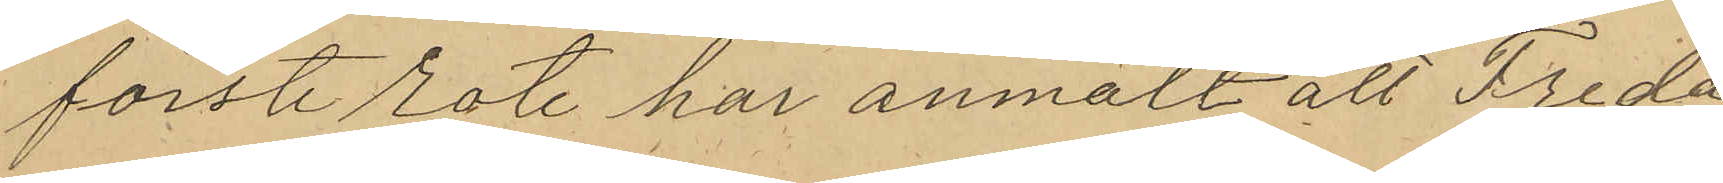förste rote har anmält att Freda¬
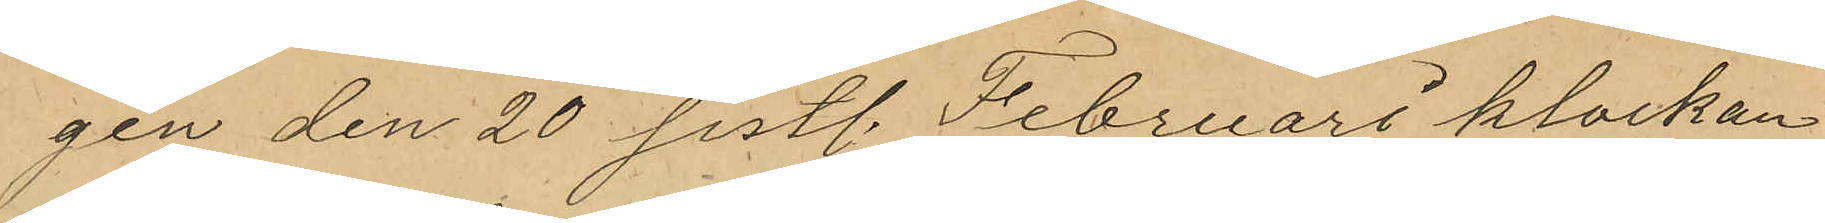gen den 20 sistl. Februari klockan
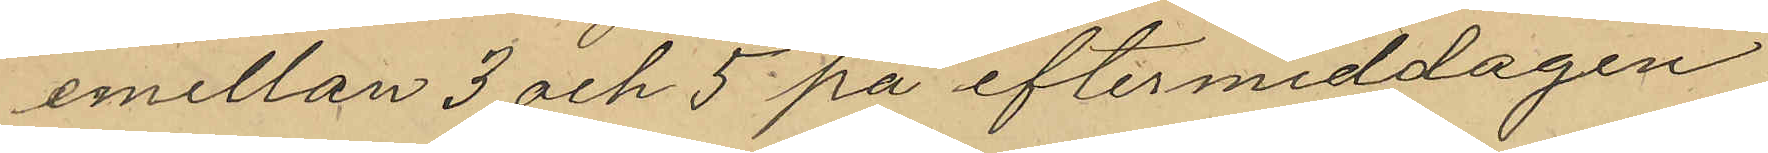emellan 3 och 5 på eftermiddagen
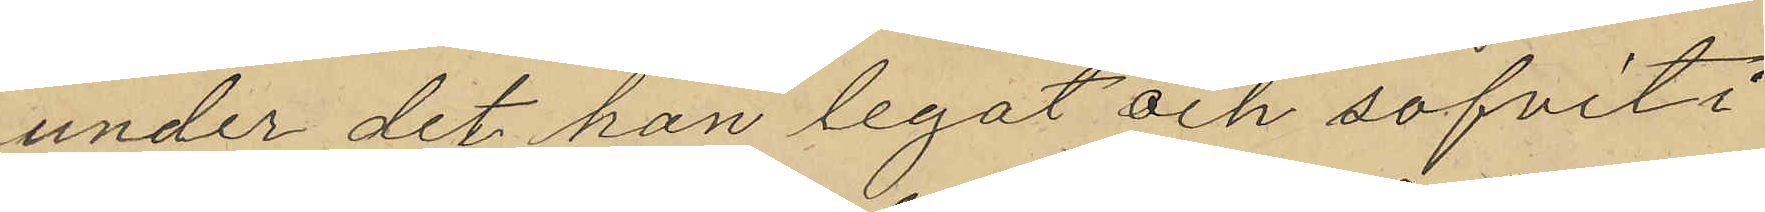under det han legat och sofvit i
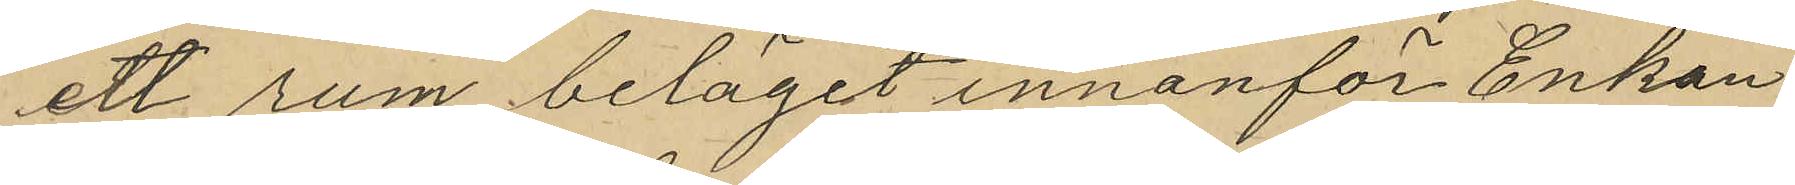ett rum beläget innanför Enkan
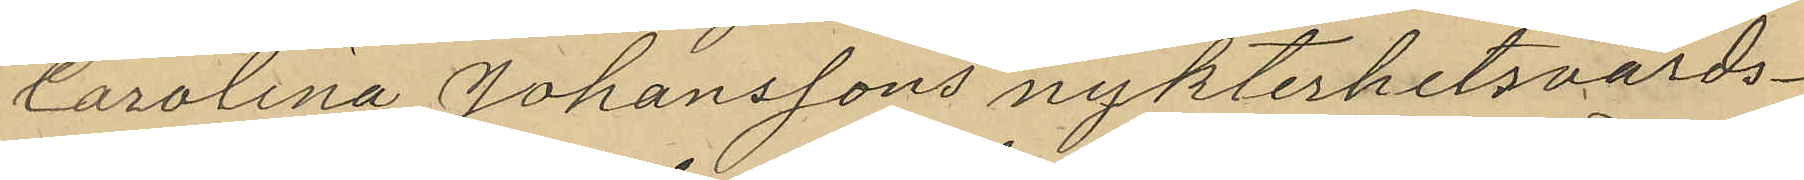Carolina Johanssons nykterhetsvärds¬
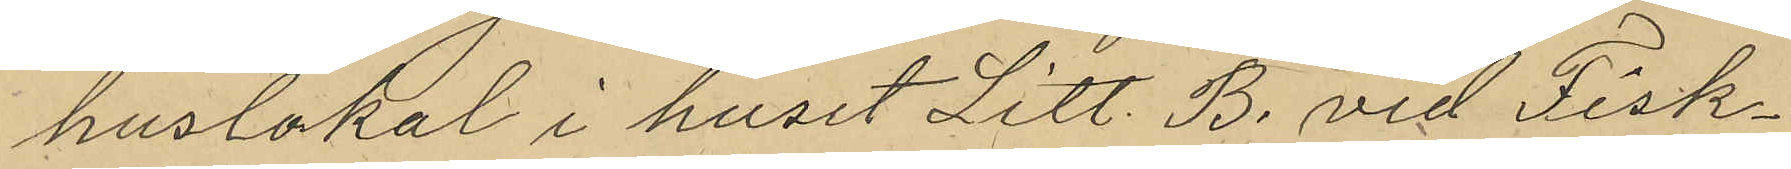huslokal i huset Litt. B. vid Fisk¬
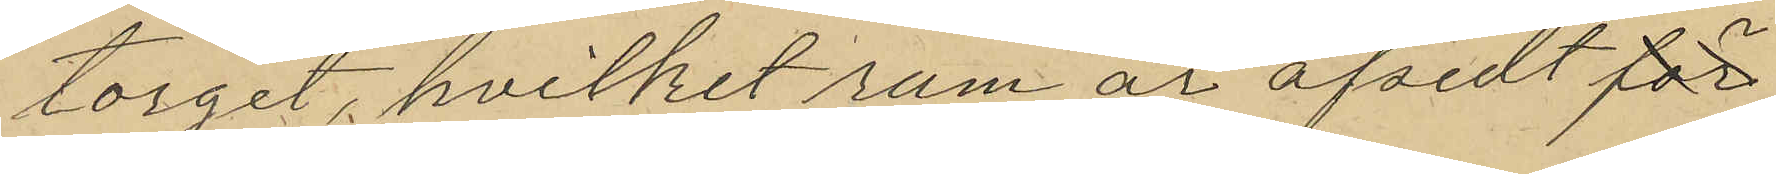torget, hvilket rum är afsedt för
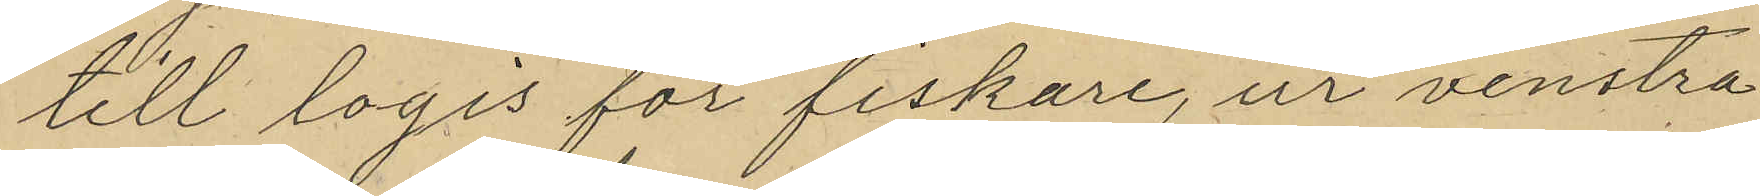till logis för fiskare, ur venstra
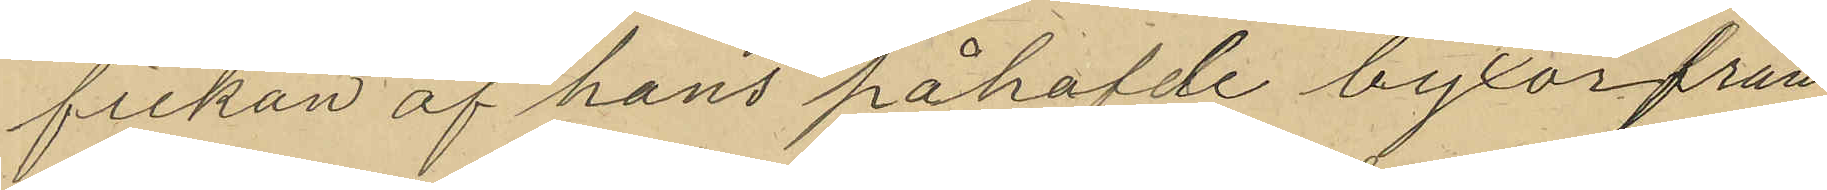fickan af hans påhafde byxor från
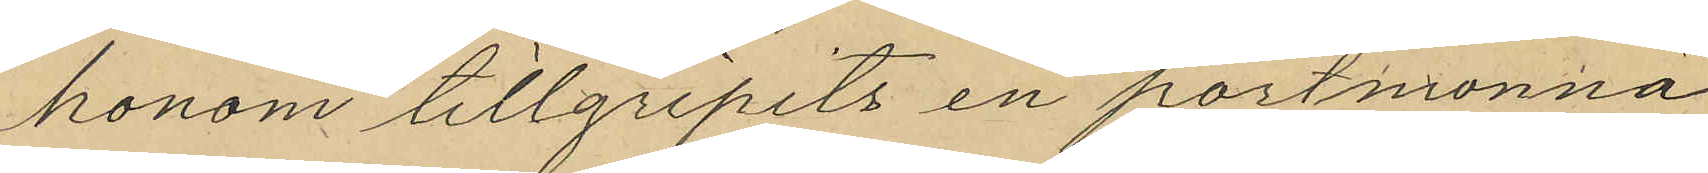honom tillgripits en portmonnä
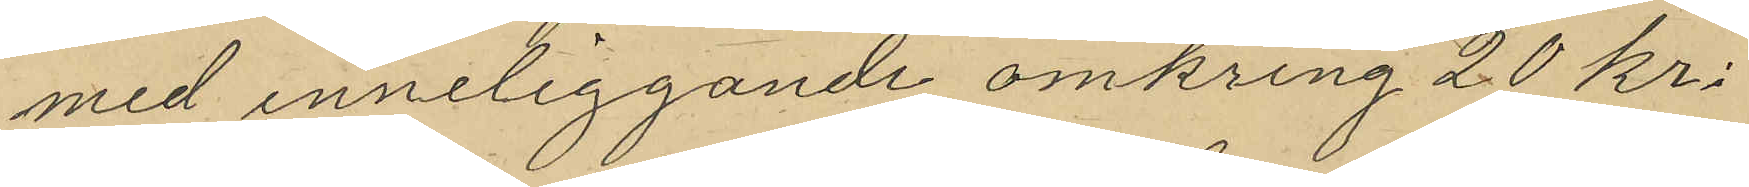med inneliggande omkring 20 Kr.
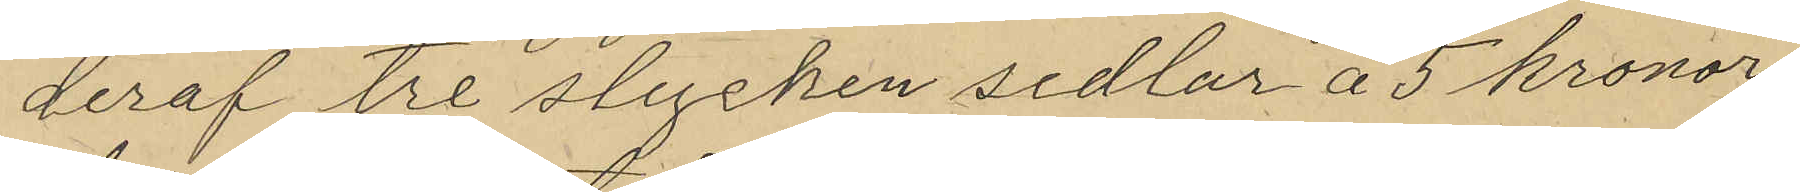deraf tre stycken sedlar å 5 kronor
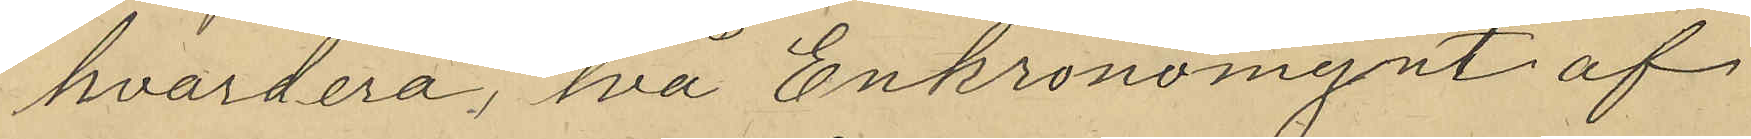hvardera, två Enkronomynt af
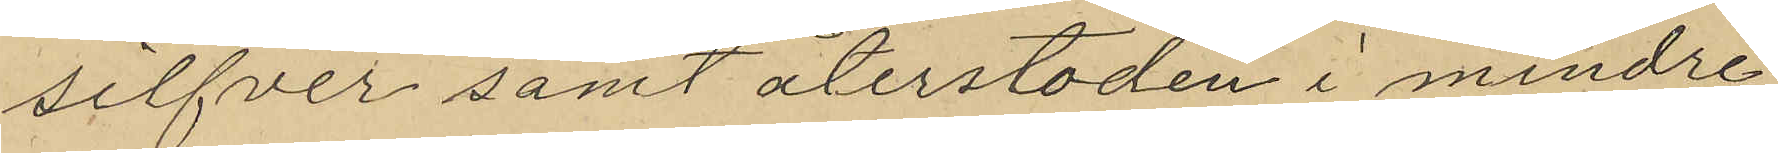silfver samt återstoden i mindre
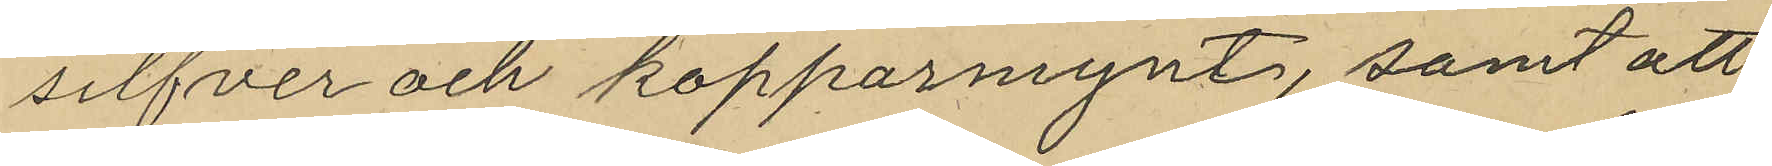silfver och kopparmynt, samt att
